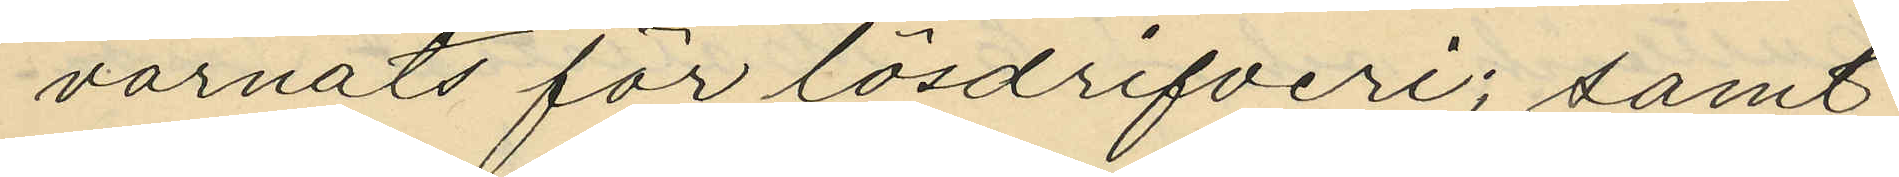varnats för lösdrifveri; samt
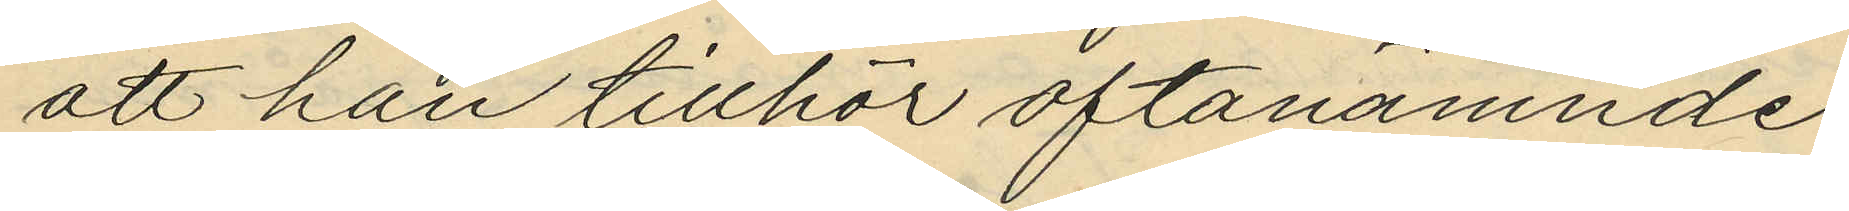att han tillhör oftanämnde
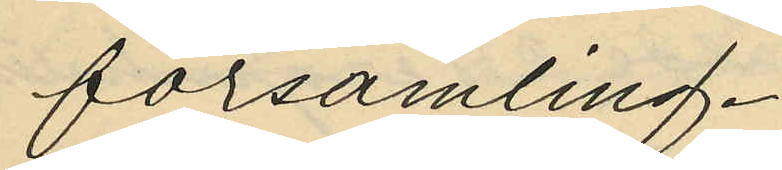församling.
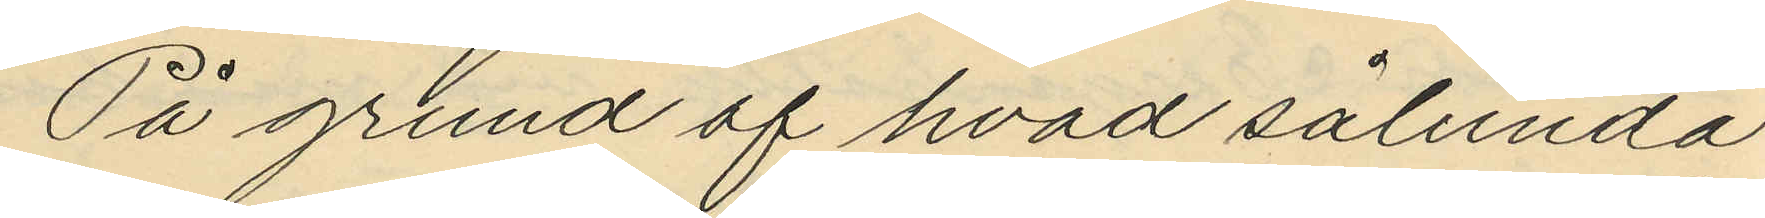På grund af hvad sålunda
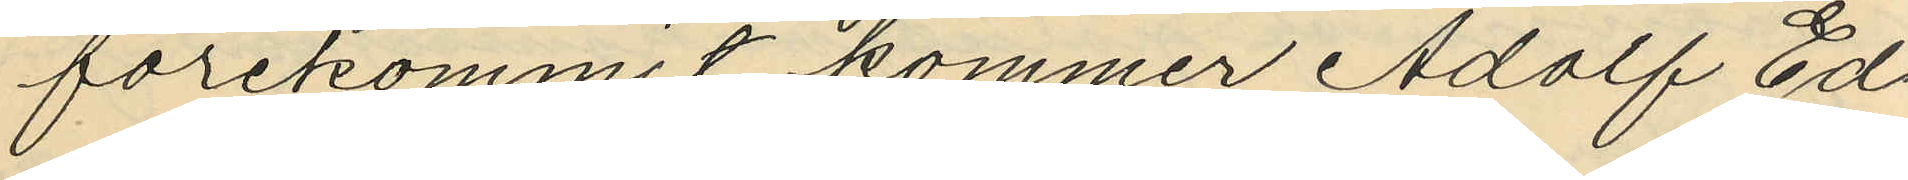förekommit kommer Adolf Ed¬
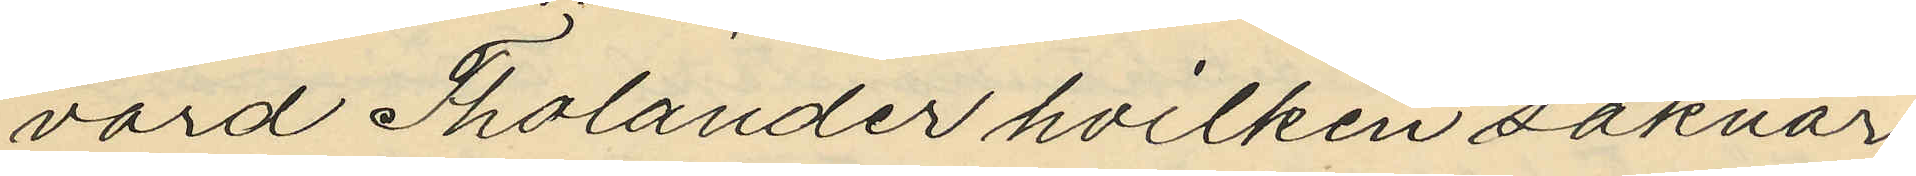vard Tholander hvilken saknar
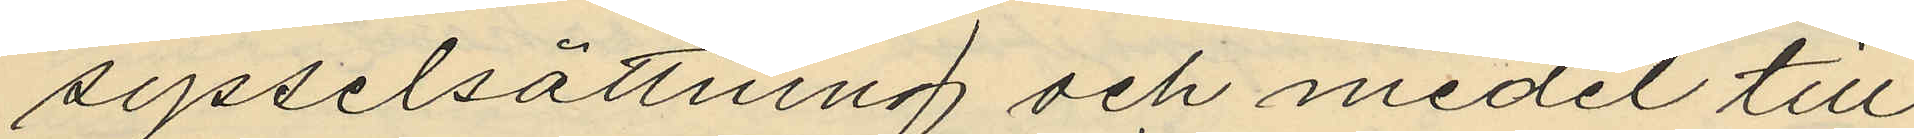sysselsättning och medel till
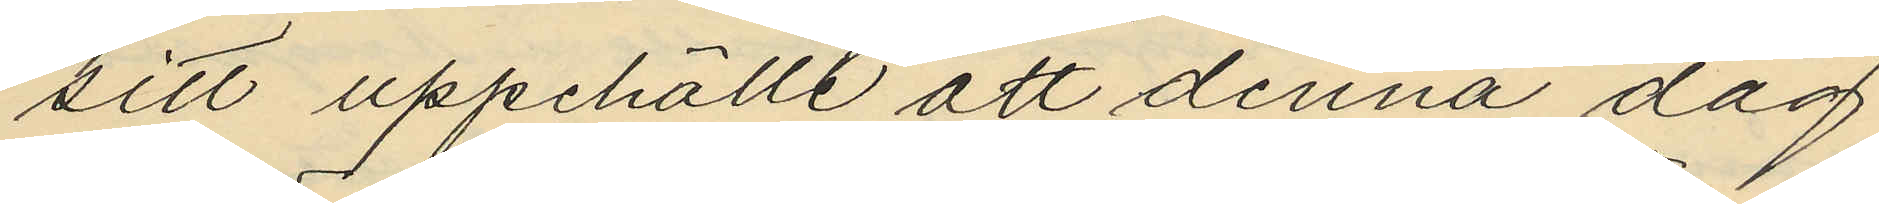sitt uppehälle att denna dag
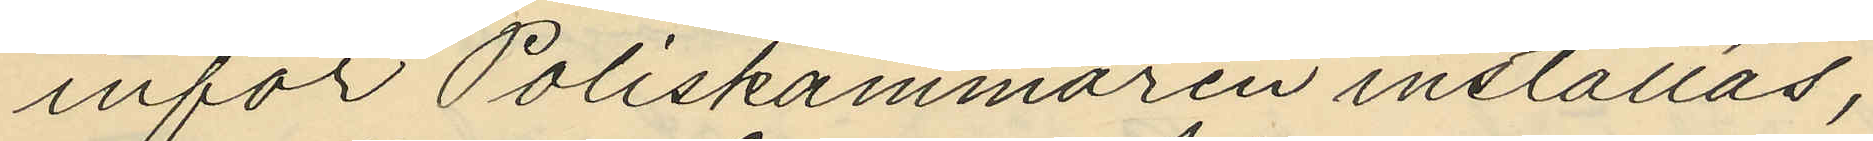inför Poliskammaren inställas,
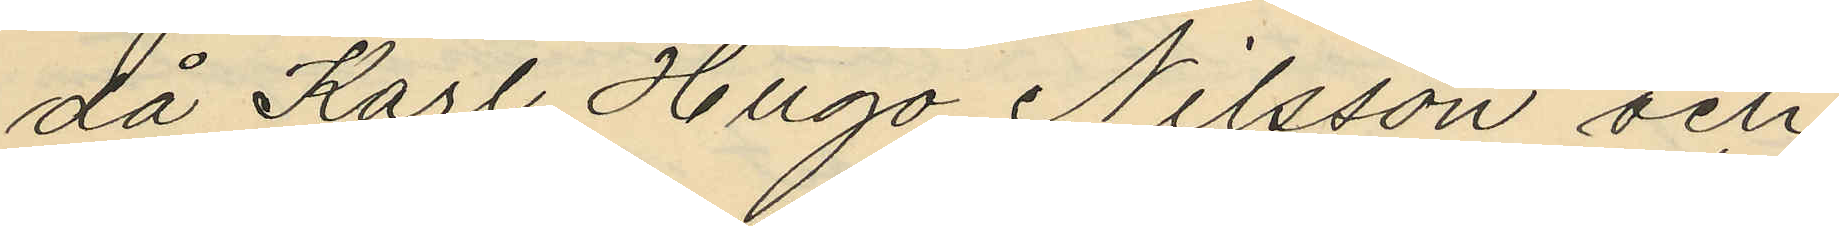då Karl Hugo Nilsson och
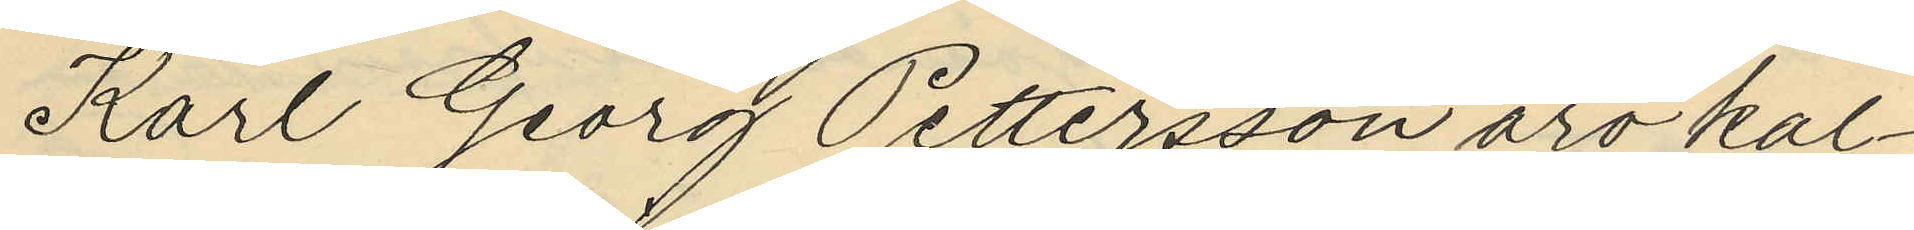Karl Georg Pettersson äro kal¬
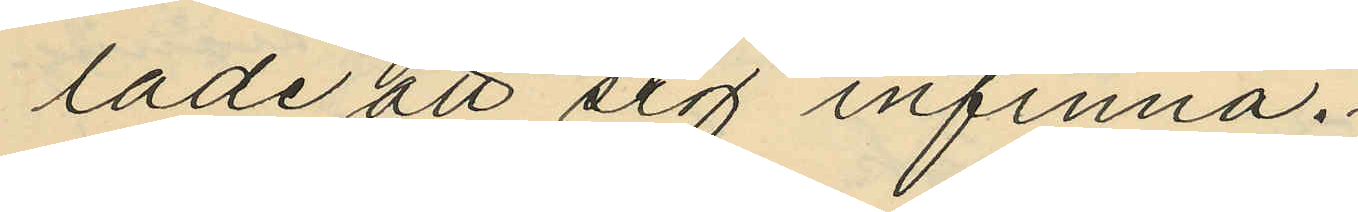lade att sig infinna.
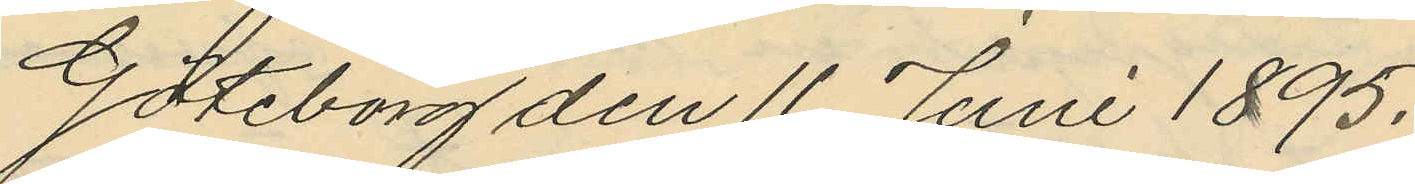Göteborg den 11 Juni 1895.
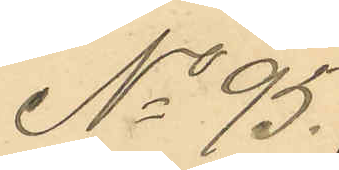No 95.
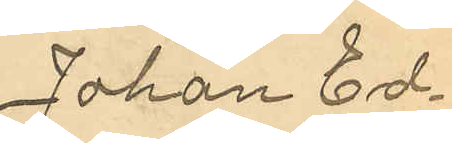Johan Ed¬
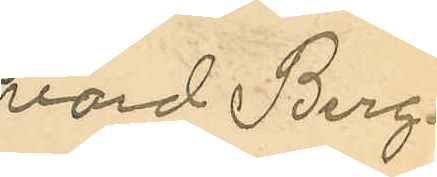vard Berg¬
